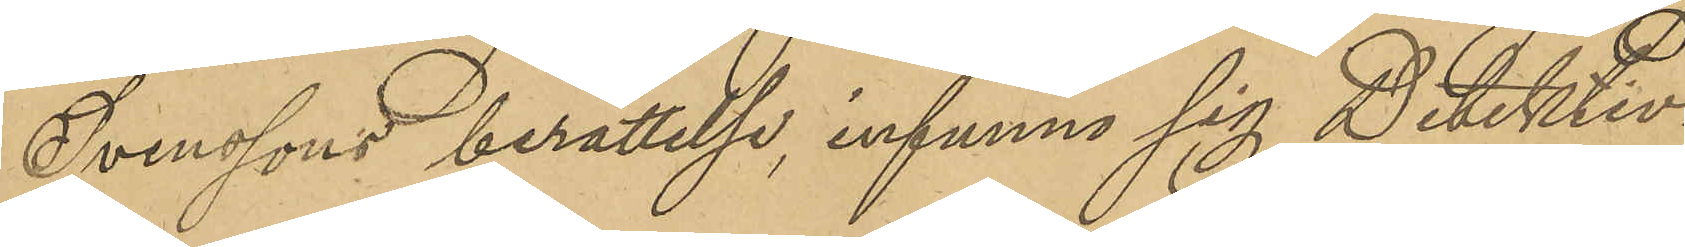Svenssons berättelse, infunno sig Detektiv¬
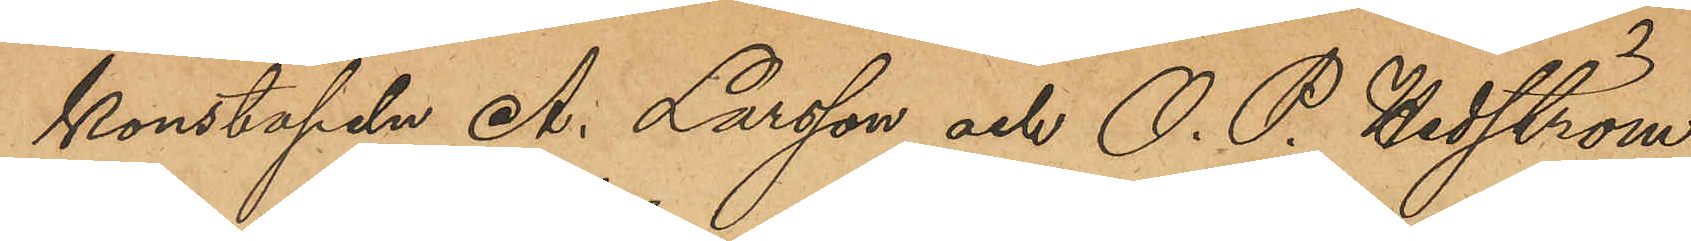konstapeln A. Larsson och O. P. Hedström
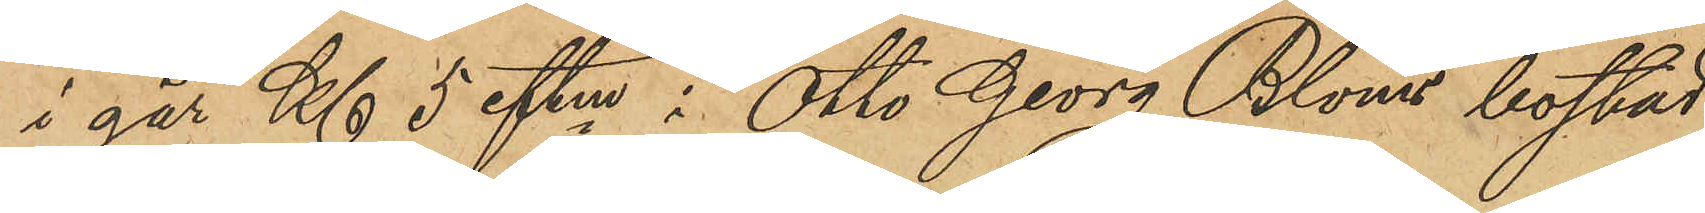i går Kl 5 eftm i Otto Georg Bloms bostad
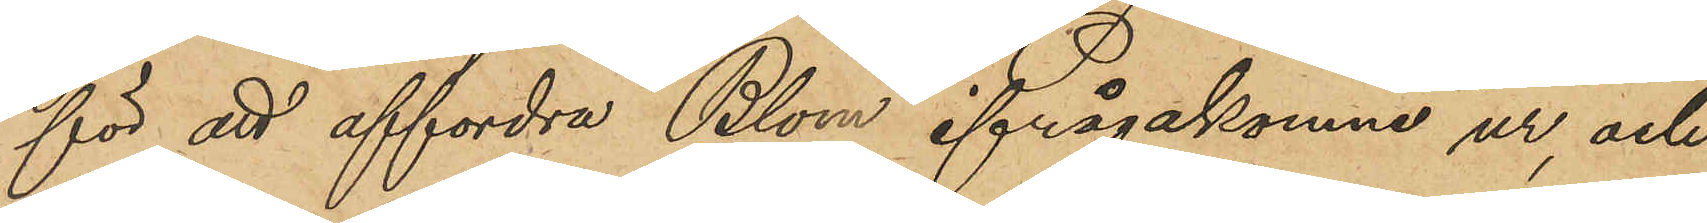för att affordra Blom ifrågakomne ur, och
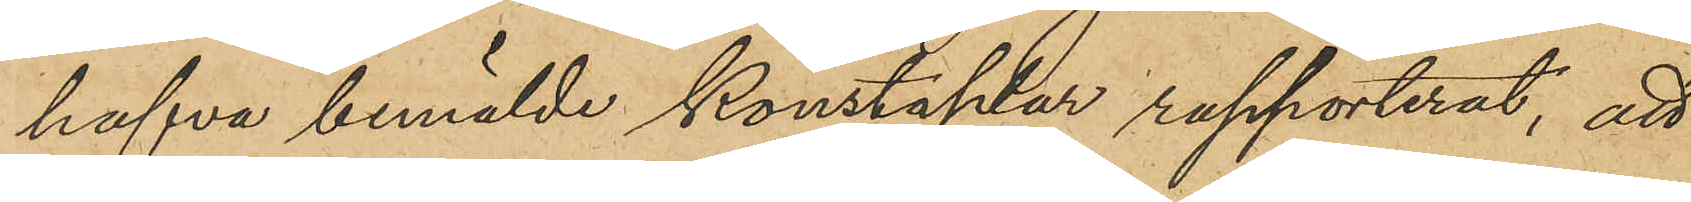hafva bemälde konstaplar rapporterat, att
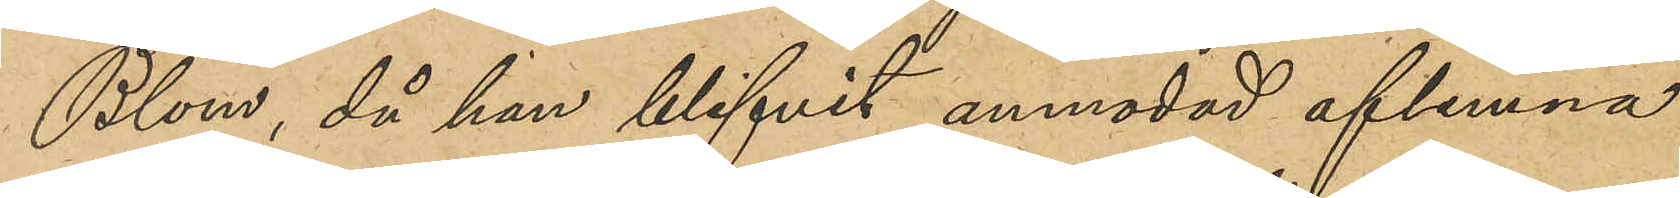Blom, då han blifvit anmodad aflemna
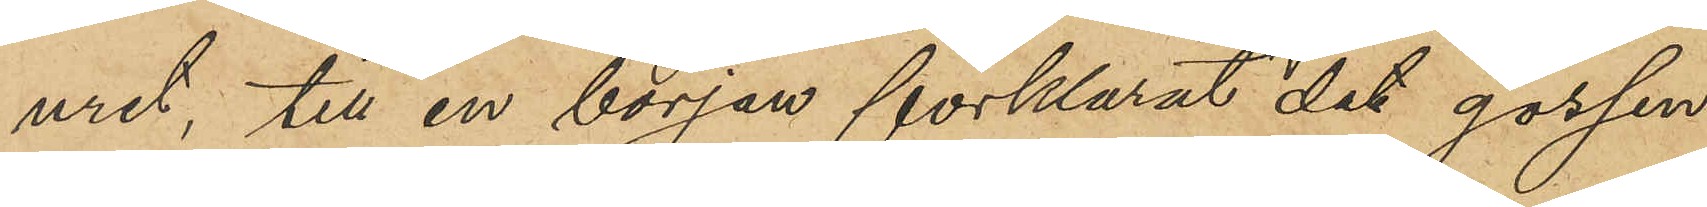uret, till en början förklarat det gossen
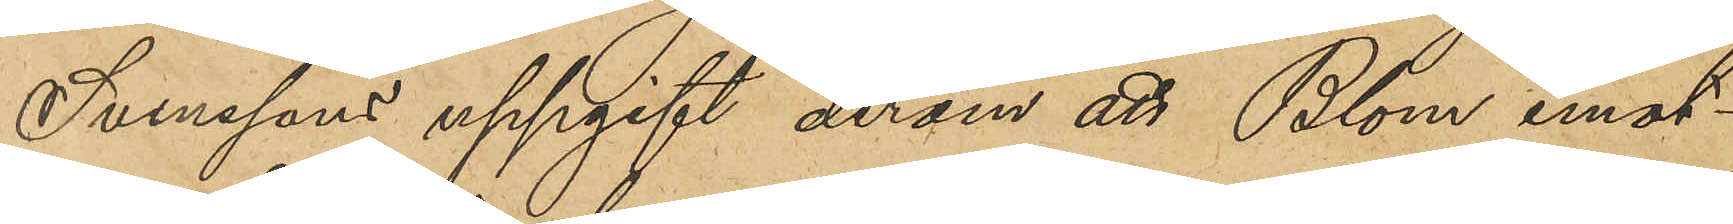Svenssons uppgift derom att Blom emot¬
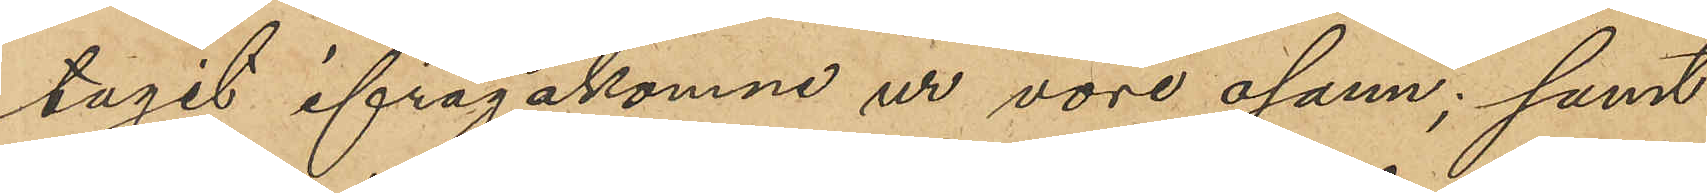tagit ifrågakomne ur vore osann; samt
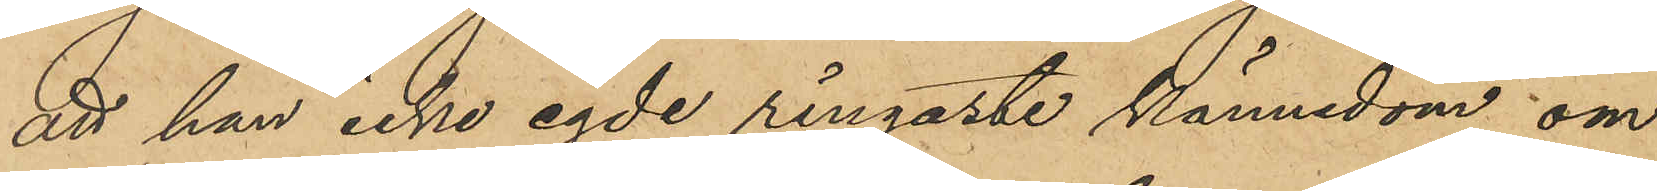att han icke egde ringaste kännedom om
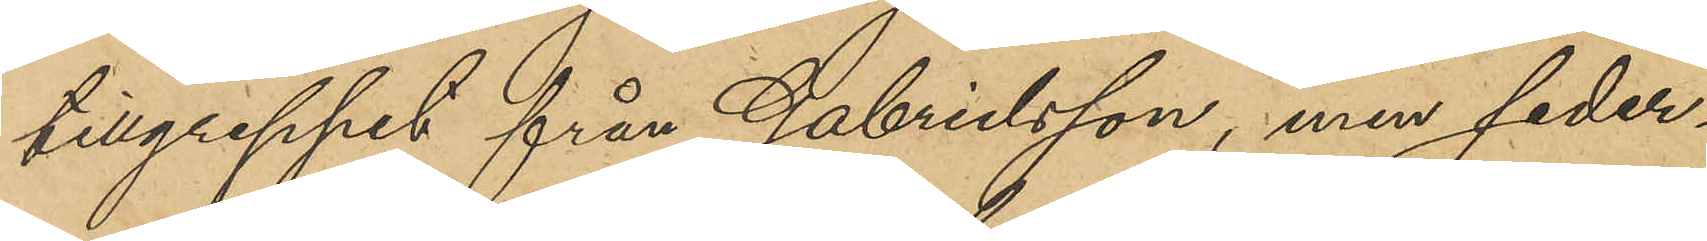tillgreppet från Gabrielsson, men seder¬
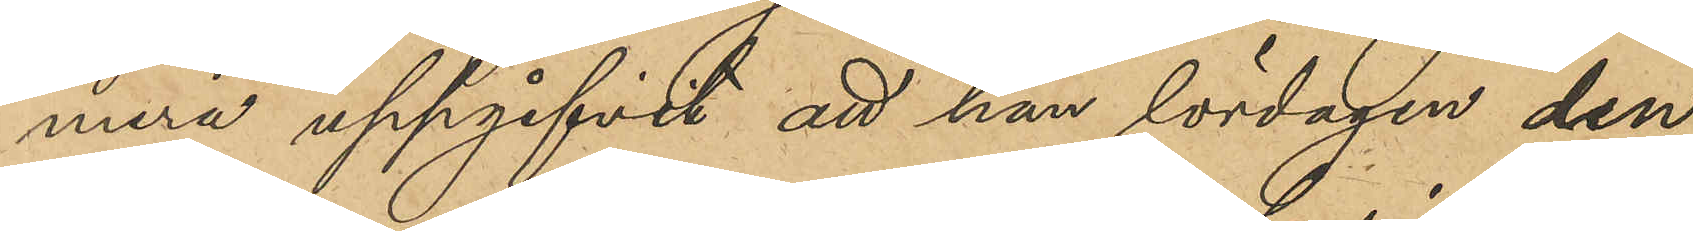mera uppgifvit att han lördagen den
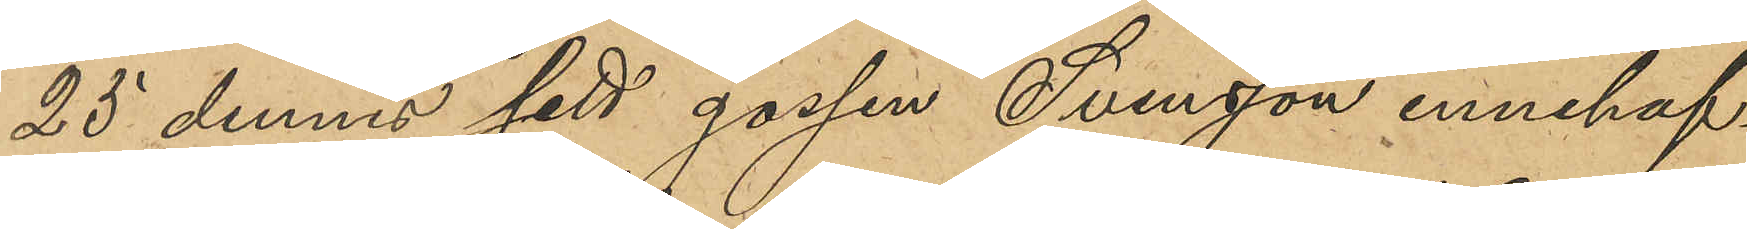25 dennes sett gossen Svensson innehaf¬
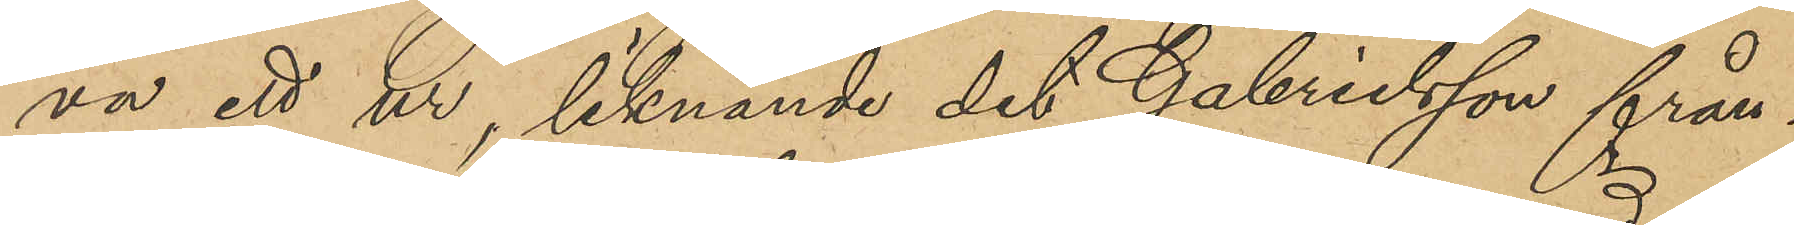va ett ur, liknande det Gabrielsson från¬
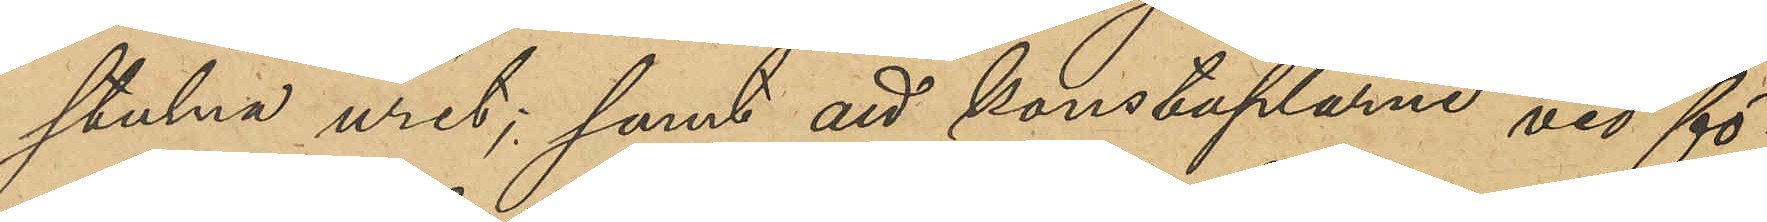stulna uret; samt att konstaplarne vid fö¬
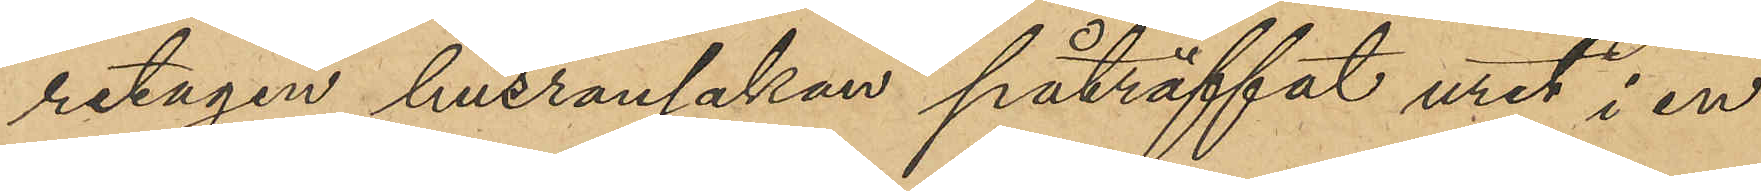retagen husransakan påträffat uret i en
